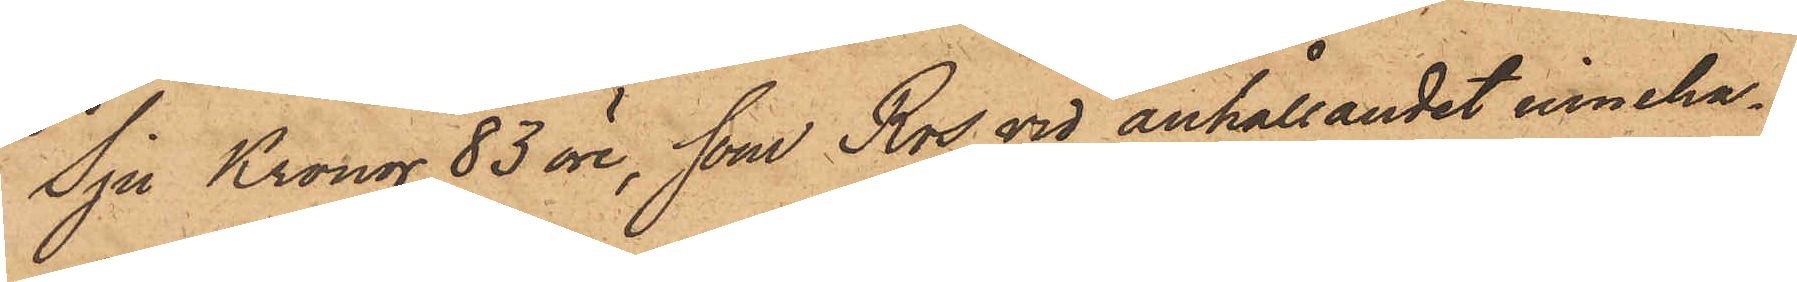Sju Kronor 83 öre, som Ros vid anhållandet inneha¬
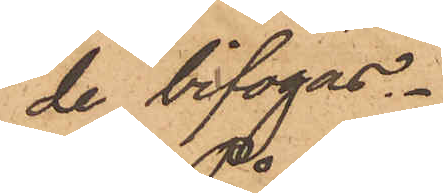de bifogas.
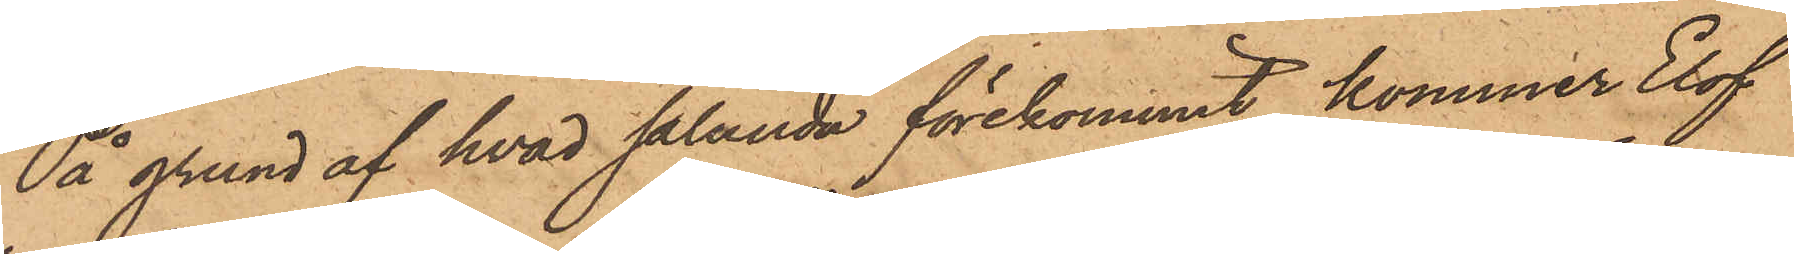På grund af hvad sålunda förekommit, kommer Elof
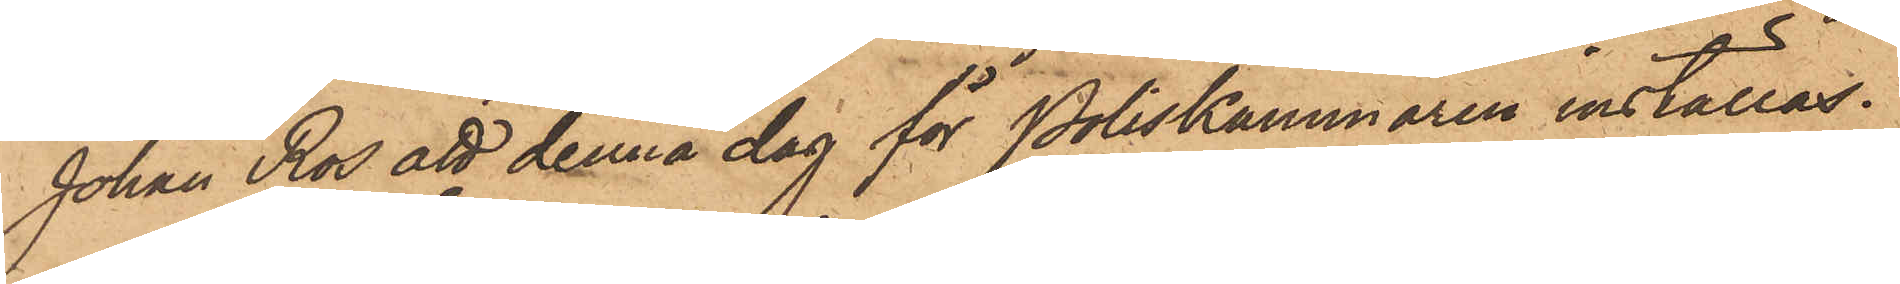Johan Ros att denna dag för Poliskammaren inställas.
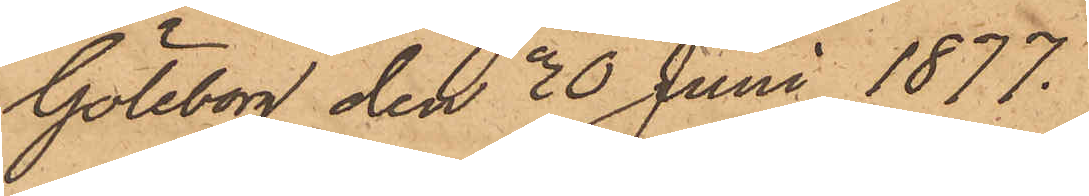Göteborg den 30 Juni 1877.
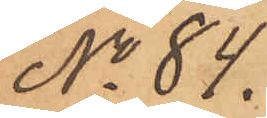No 84.
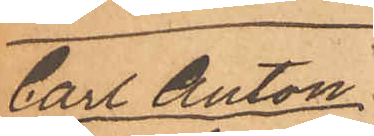Carl Anton
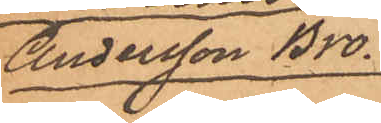Andersson Bro
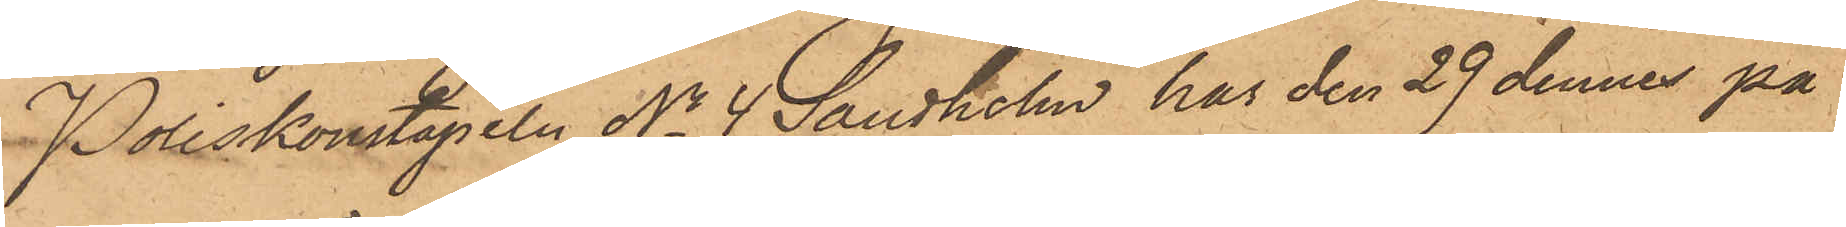Poliskonstapeln No 4 Sandholm har den 29 dennes på
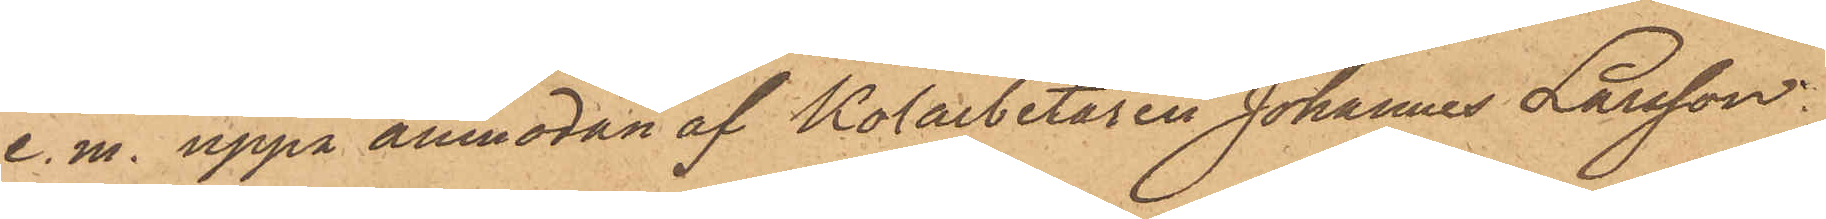e. m. uppå anmodan af Kolarbetaren Johannes Larsson
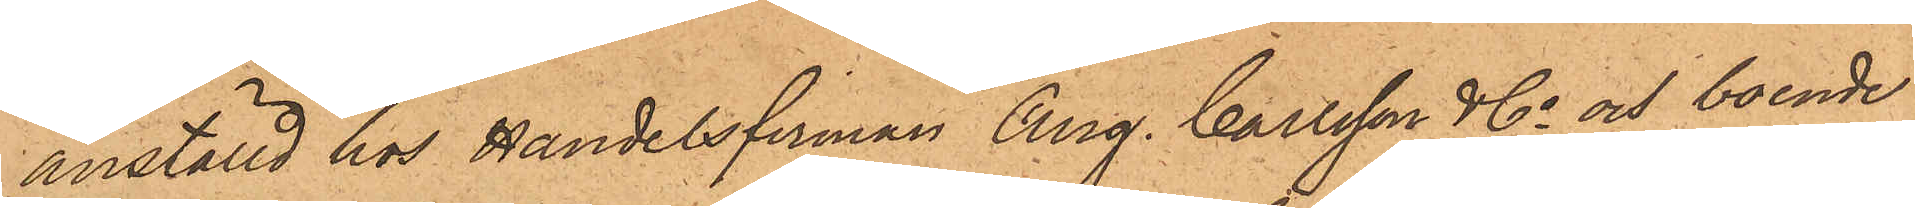anställd hos Handelsfirman Aug. Carlsson & Co och boende
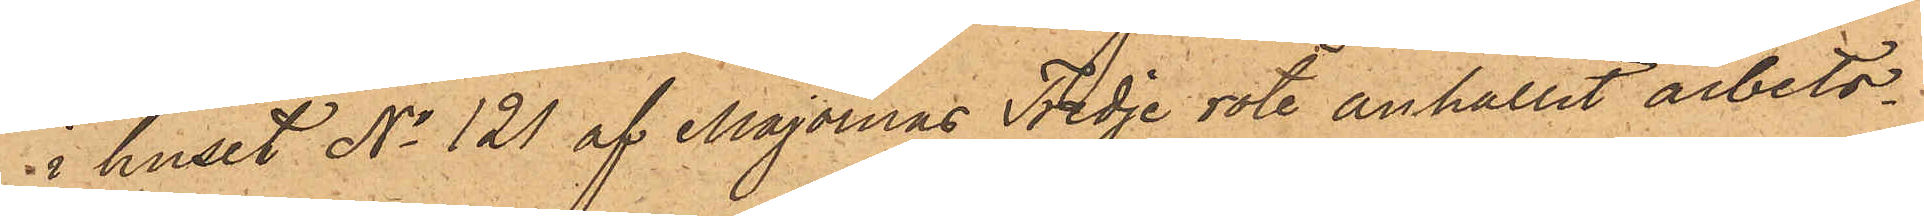i huset No 121 af Majornas Tredje rote anhållit arbets¬
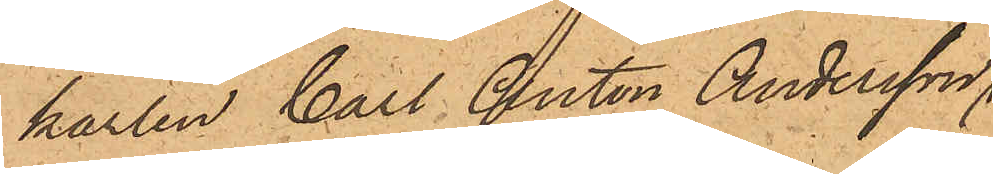karlen Carl Anton Andersson,
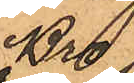Bro
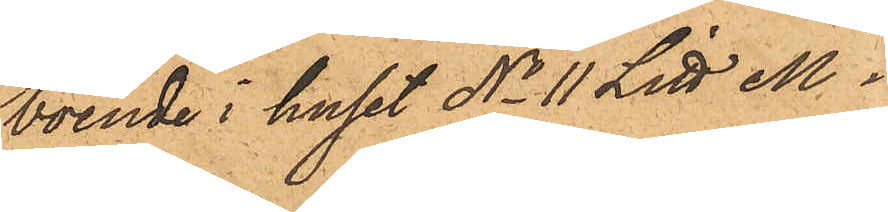boende i huset No 11 Litt M i
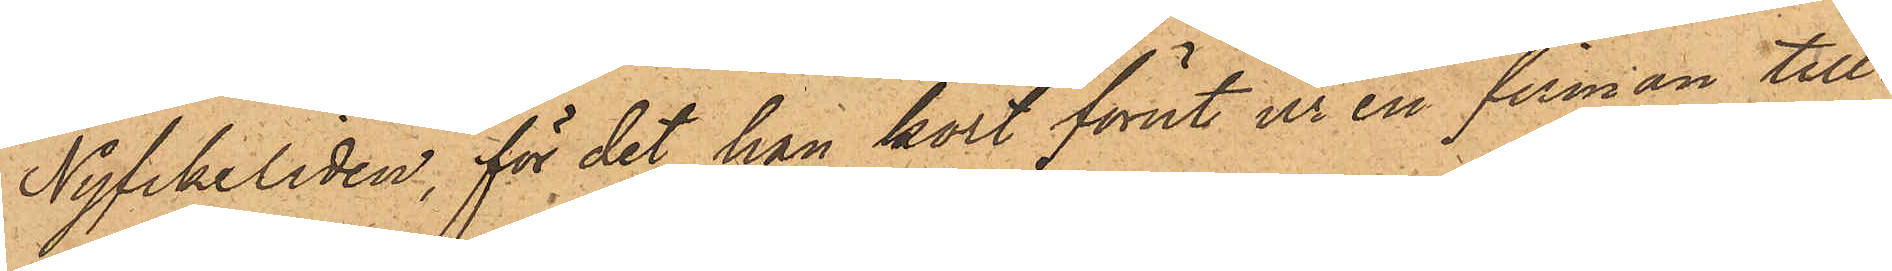Nyfikeliden, för det han kort förut ur en firman till¬
